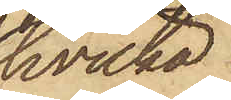hvilka
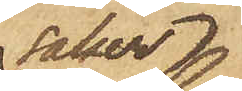saker
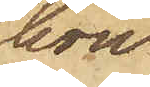hon
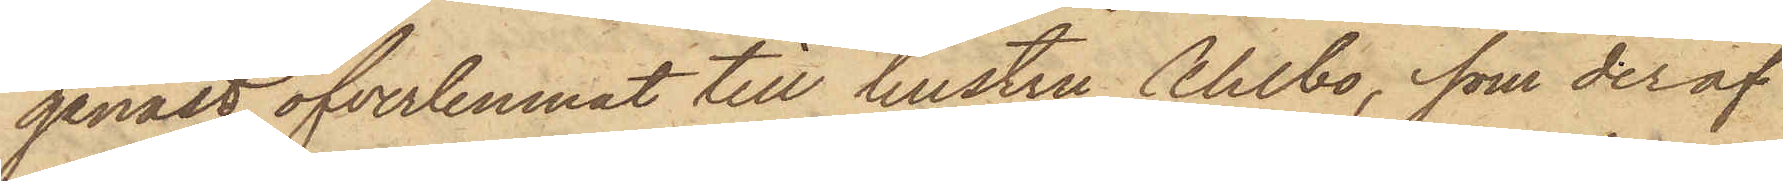genast öfverlemnat till hustru Ahlbo, som deraf
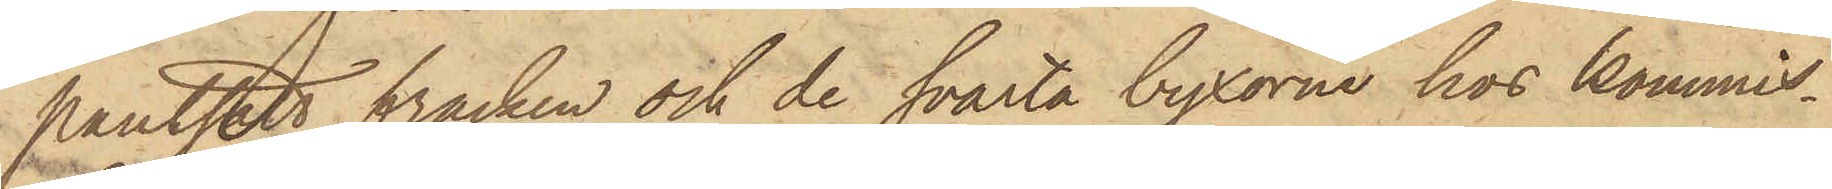pantsatt fracken och de svarta byxorna hos kommis¬
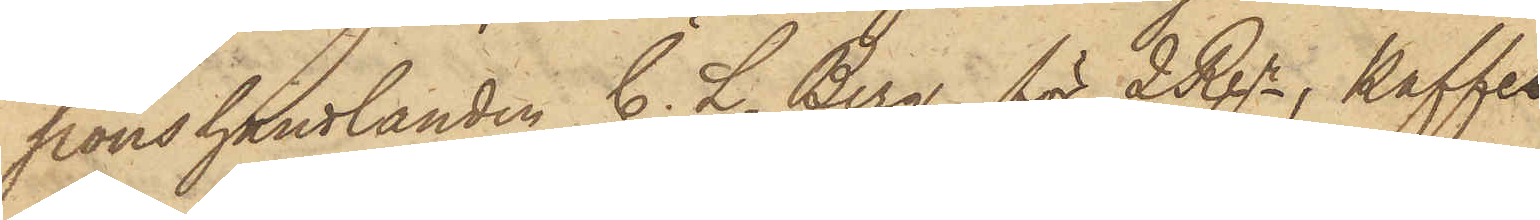Konstandlanden C. L. Berg för 2 Rgr, kaffe¬
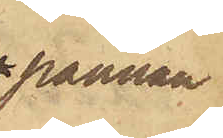pannan
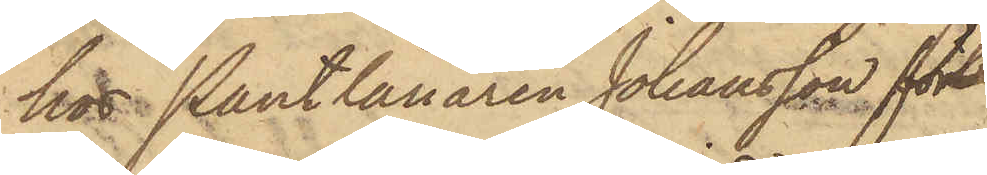hos Pantlånaren Johansson för
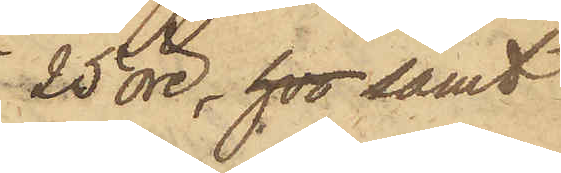25 öre, hos samt
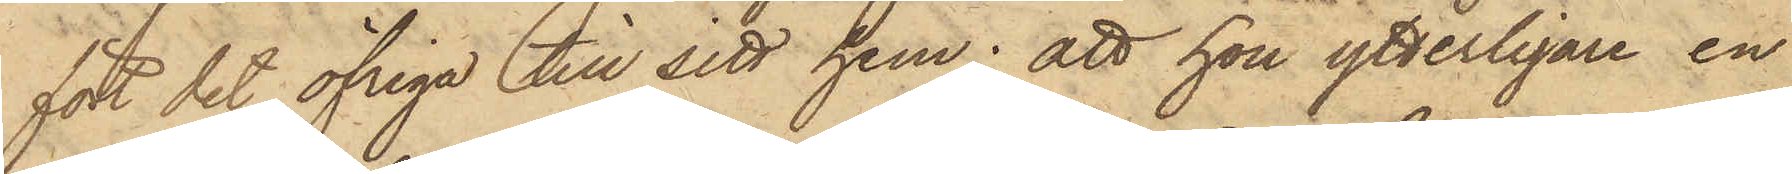fört det öfriga till sitt hem; att hon ytterligare en
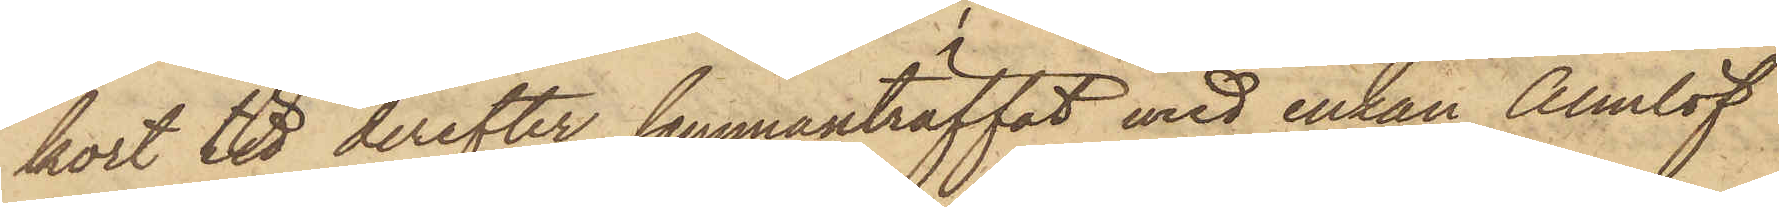kort tid derefter sammanträffat med enkan Almlöf
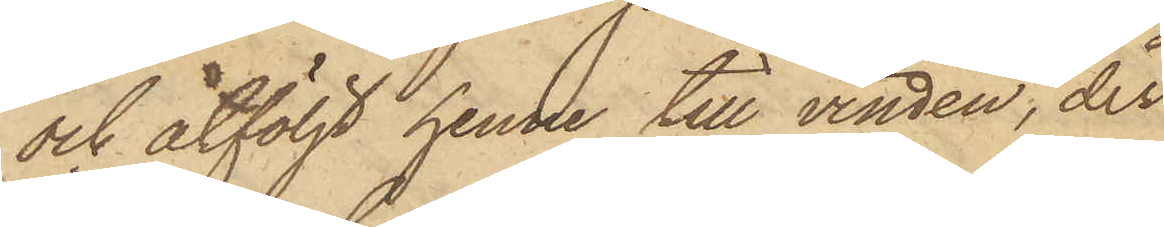och åtföljt henne till vinden, der
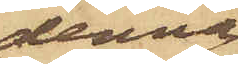denna
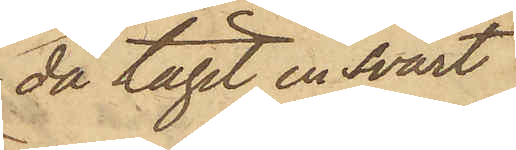då tagit en svart
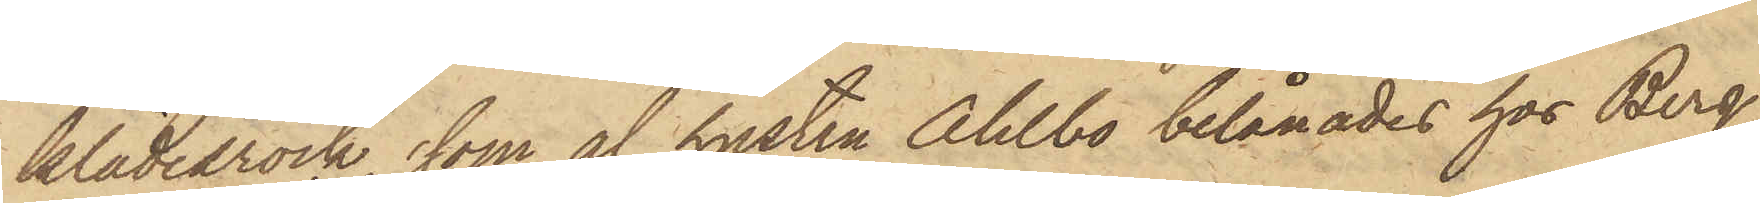klädesrock, som af hustru Ahlbo belånades hos Berg
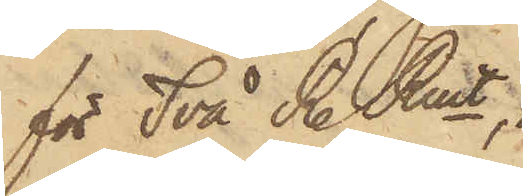för Två R. Rmt,
